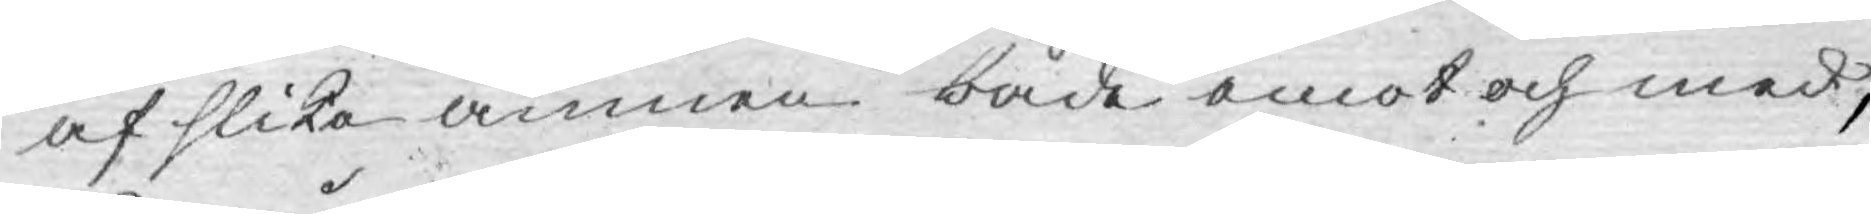af slika ämnen både emot och med,
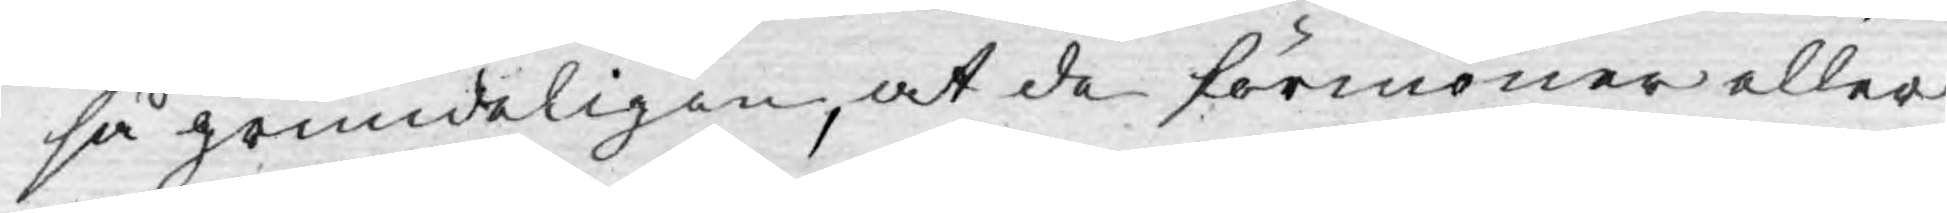så grundeligen, at de förmoner eller
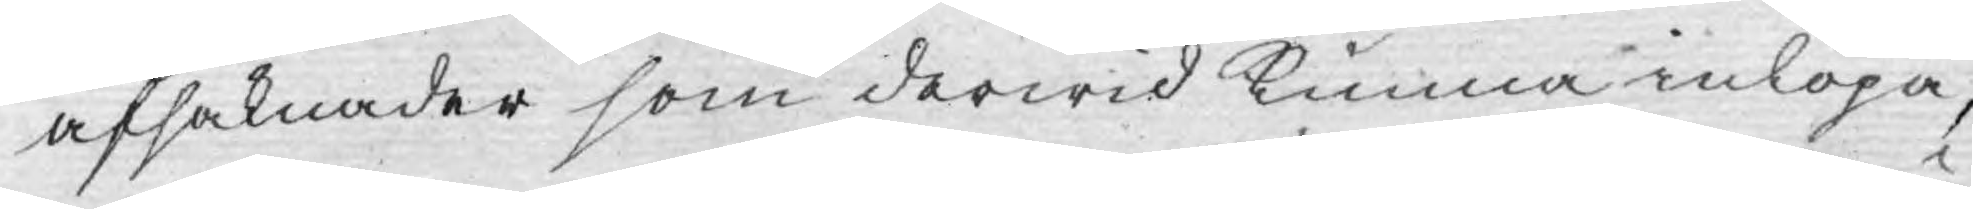afsaknader som derwid kunna inlöpa,
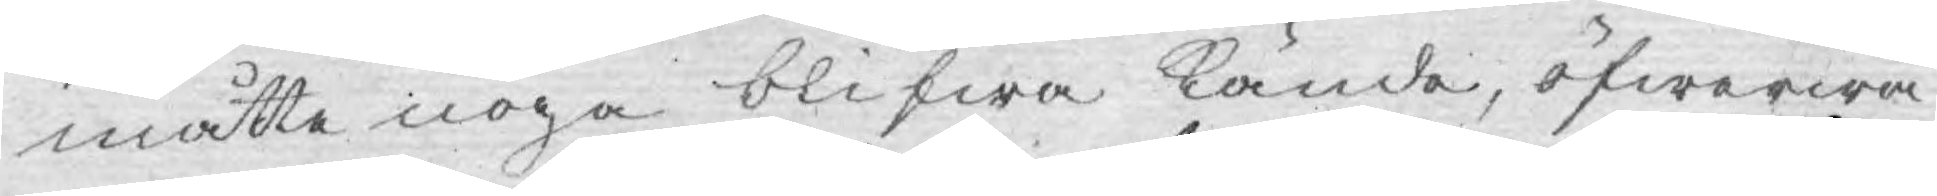måtte noga blifwa kände, öfwerwä¬
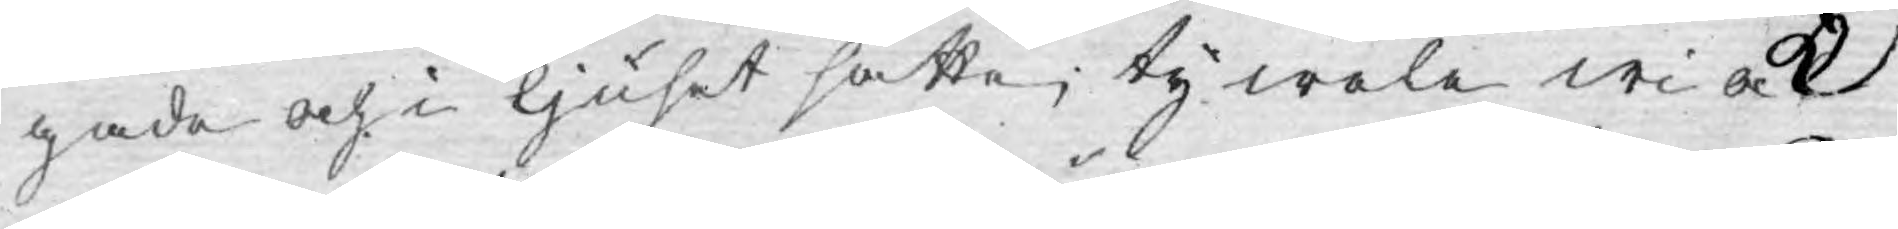gade och i ljuset satte; ty wele wi ock
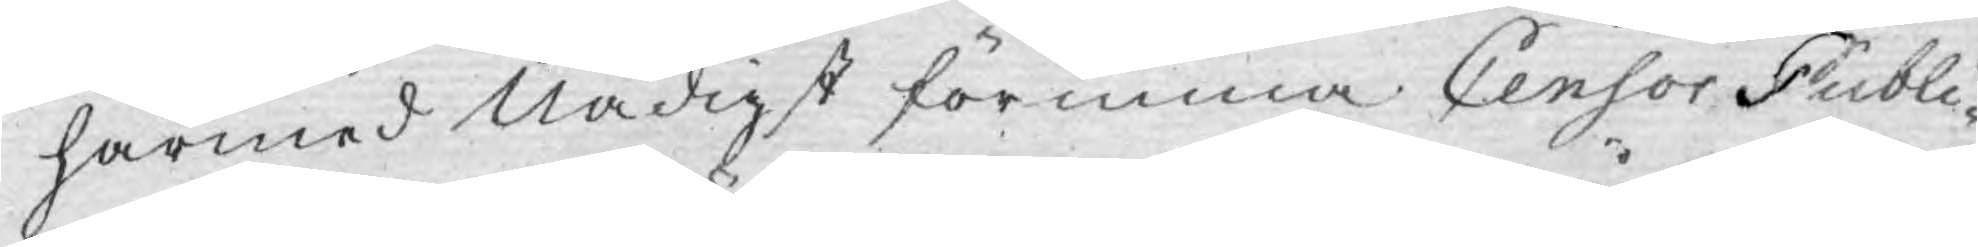härmed Nådigst förunna Censor Publi¬
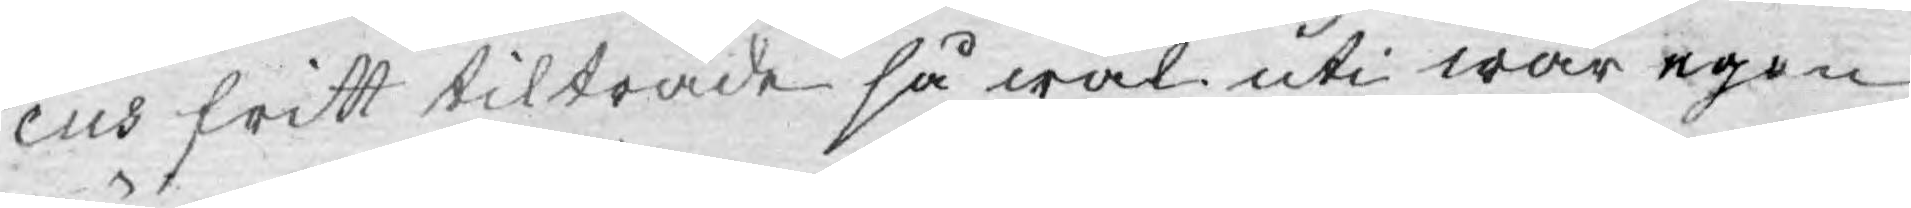cus fritt tilträde så wäl uti wår egen
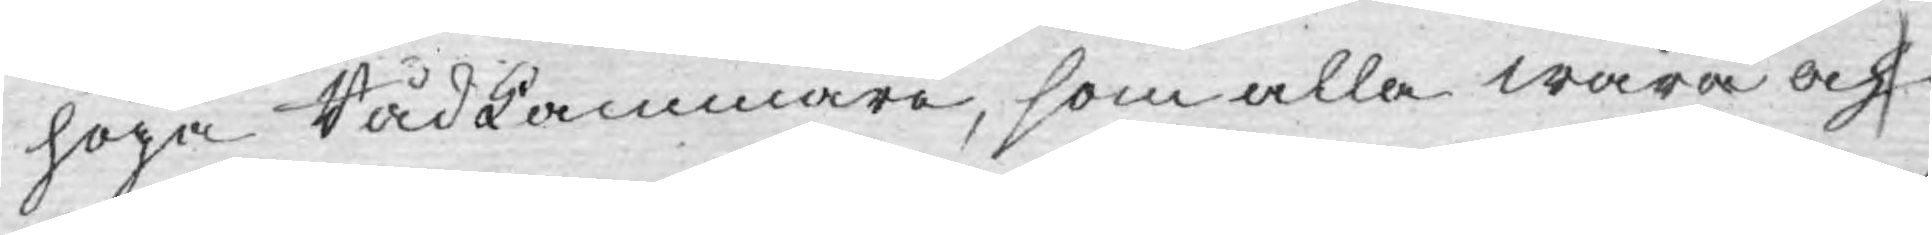höga Rådkammare, som alla wåra och
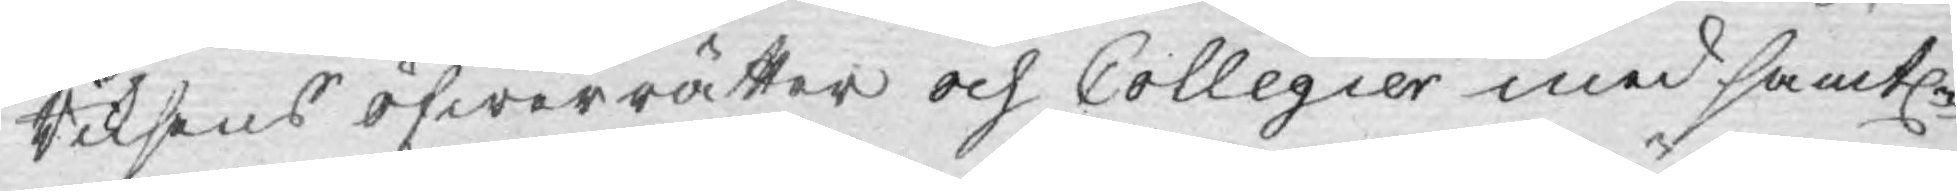Riksens öfwerrätter och Collegier med samtl
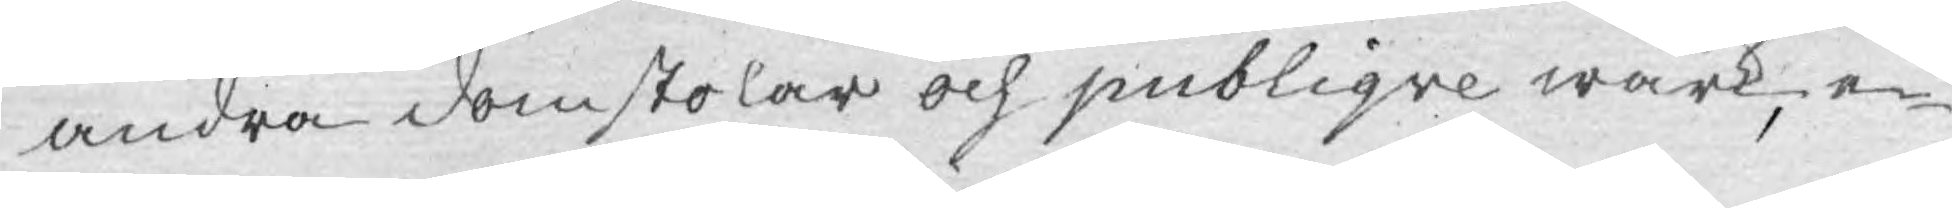andra domstolar och publiqve wärk, e¬
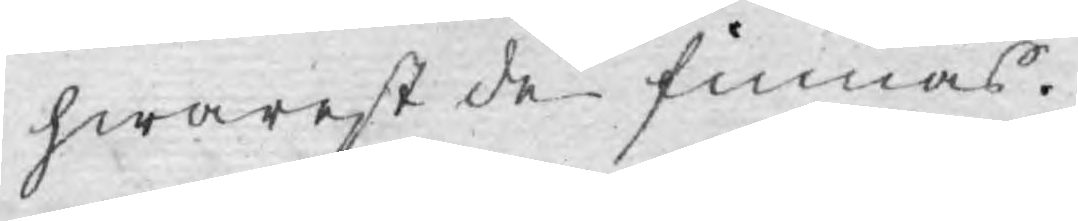hwarest de finnas.
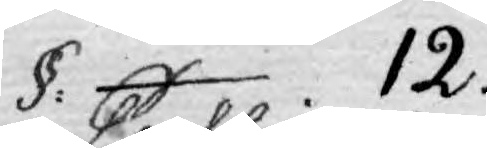§.12.
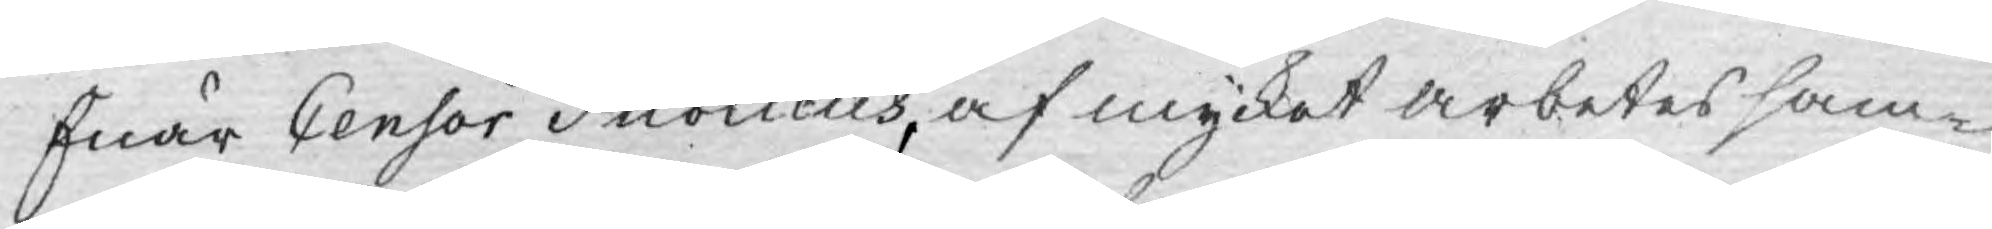Enär Censor Publicus, af mycket arbetes sam¬
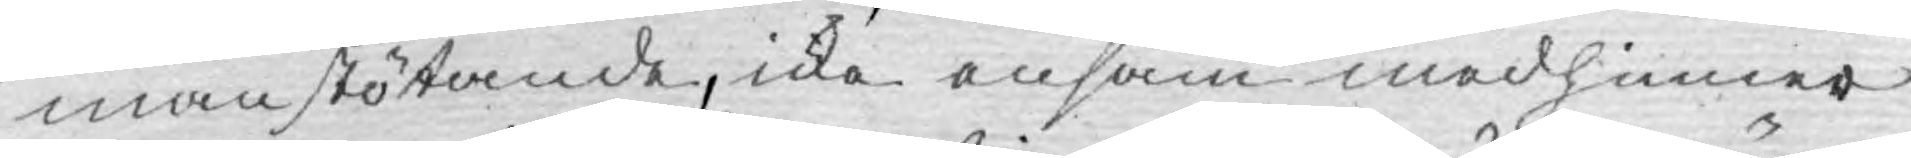manstötande, icke ensam medhinner
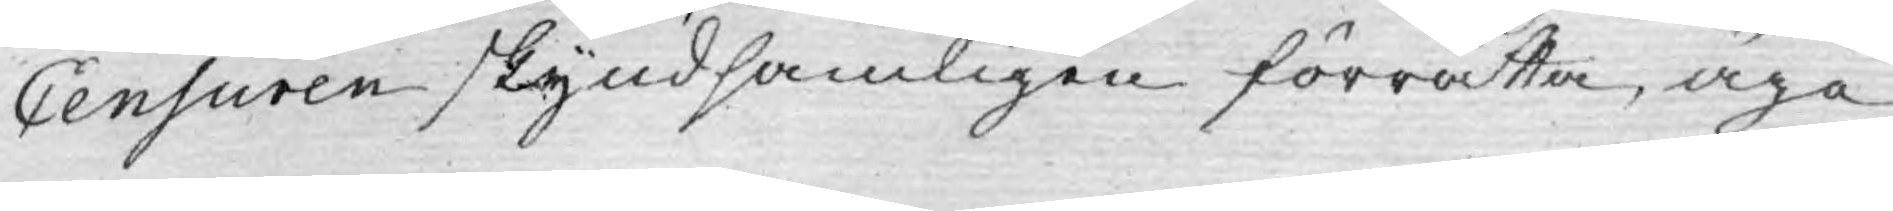Censuren skyndsamligen förrätta, äga
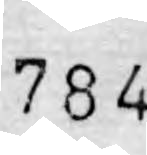784
